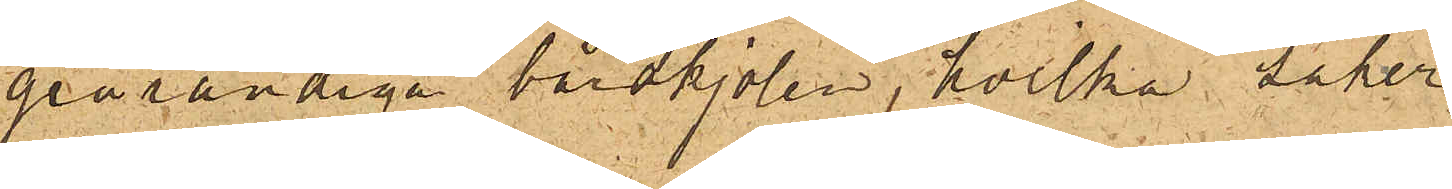grårandiga bårdkjolen, hvilka saker
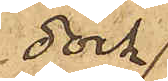dock
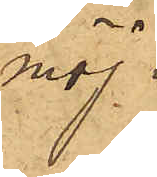möj¬
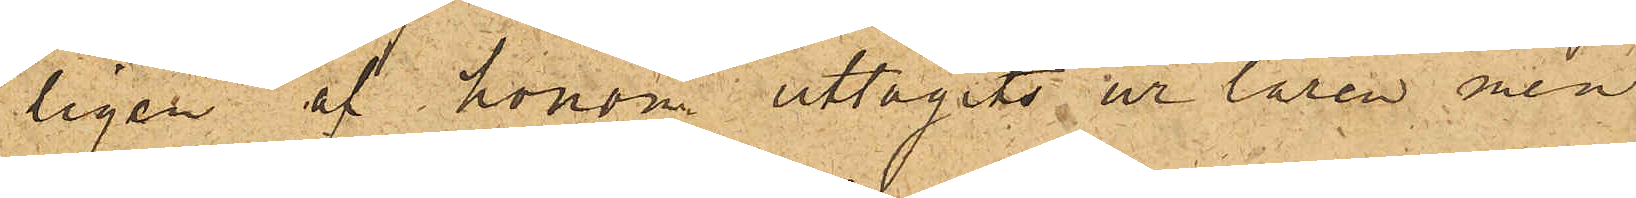ligen af honom uttagits ur låren men
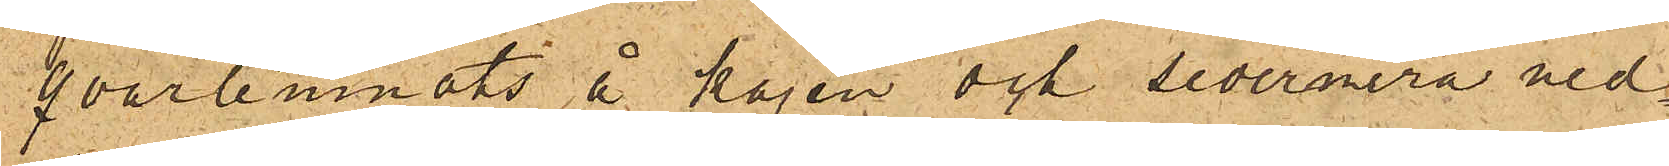qvarlemnats å kajen och sedermera ned¬
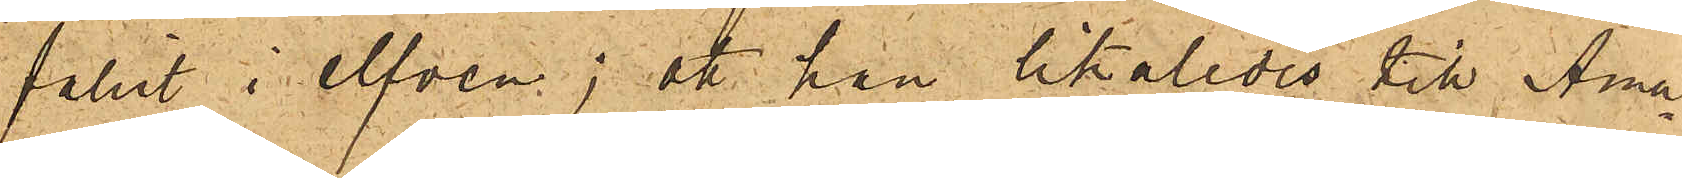fallit i elfven; att han likaledes till Ama¬
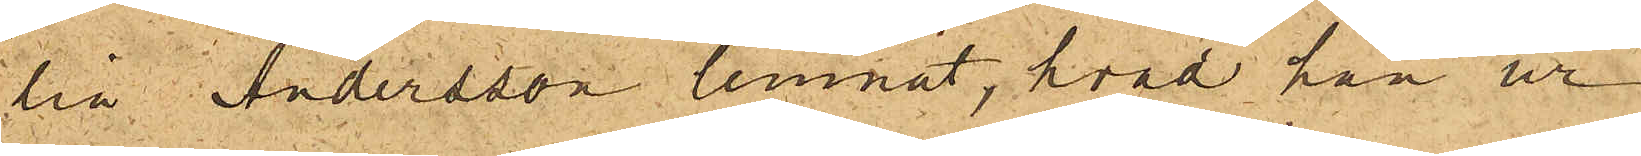lia  Andersson lemnat, hvad han ur
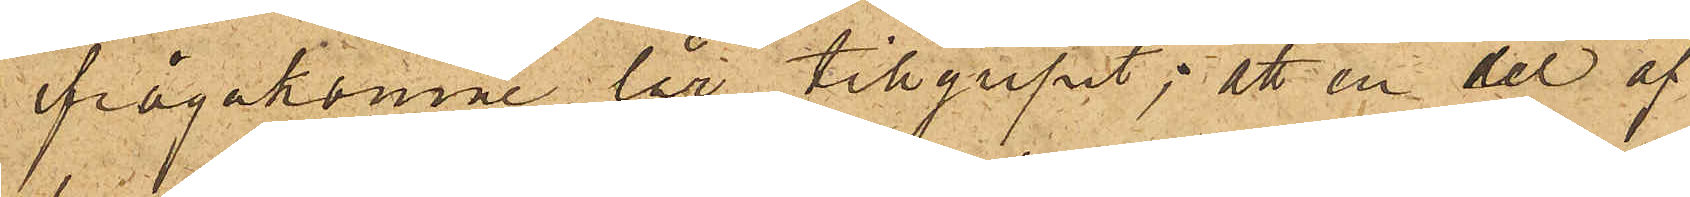frågakomne lår tillgripit; att en del af
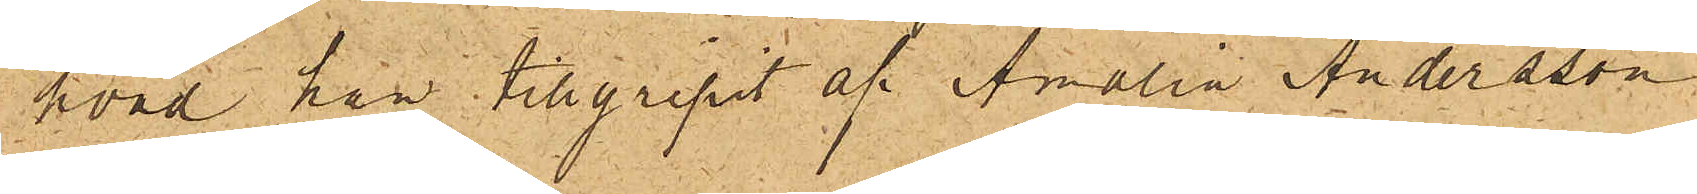hvad han tillgripit af Amalia Andersson
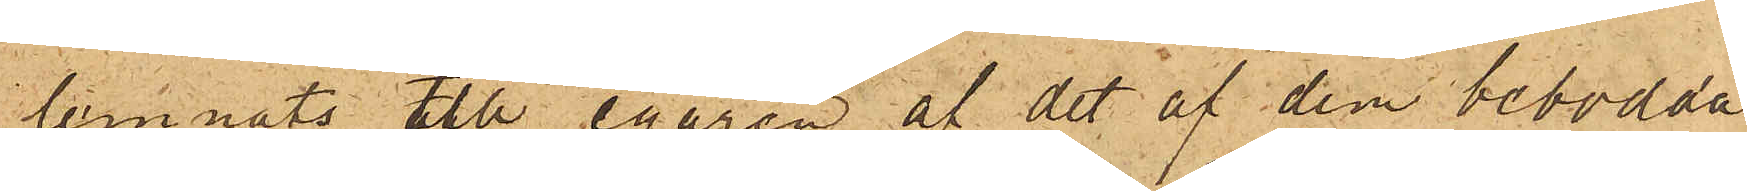lemnats till egaren af det af dem bebodda
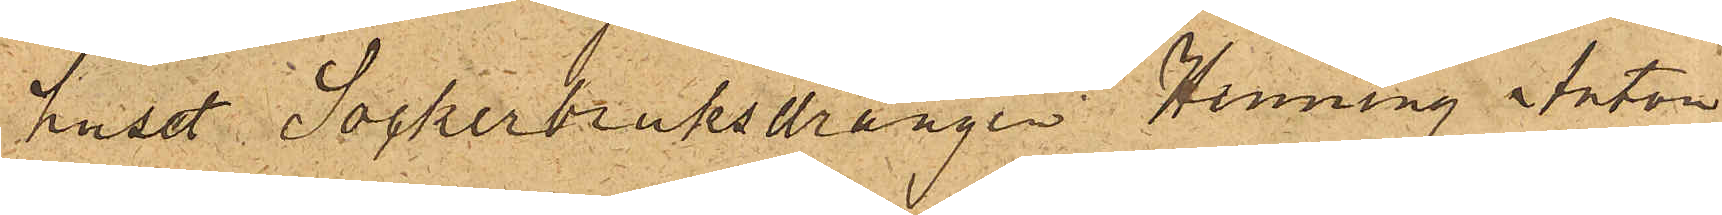huset Sockerbruksdrängen Henning Anton
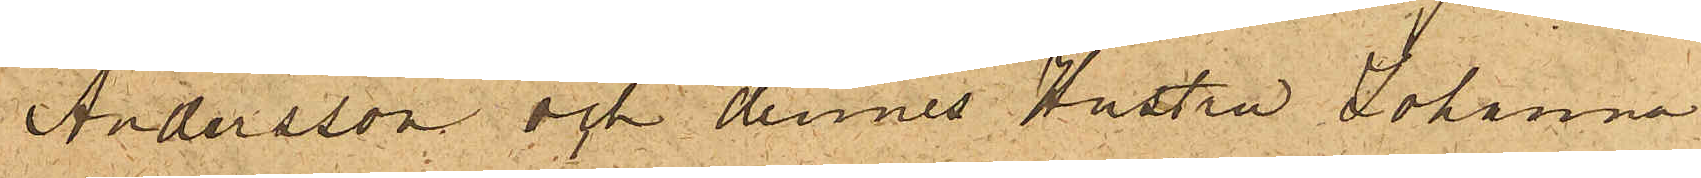Andersson och dennes Hustru Johanna
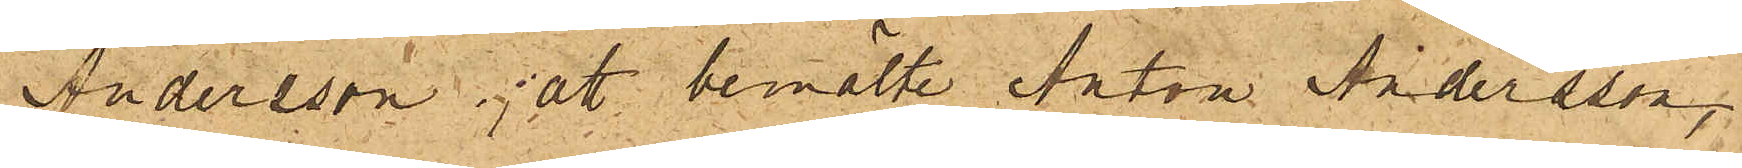Andersson; att bemälte Anton Andersson,
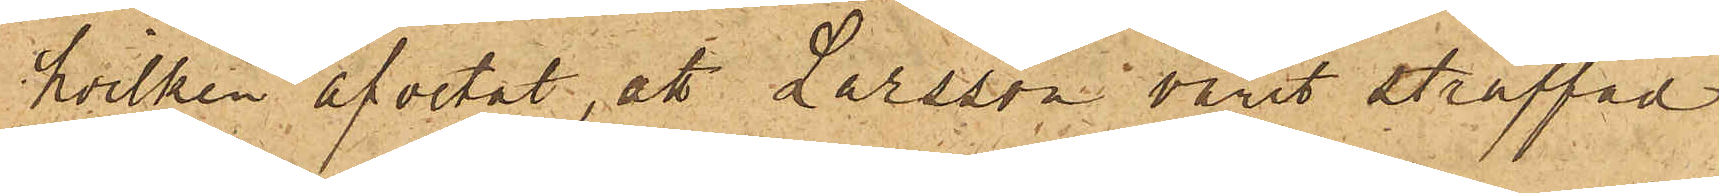hvilken afvetat, att Larsson varit straffad
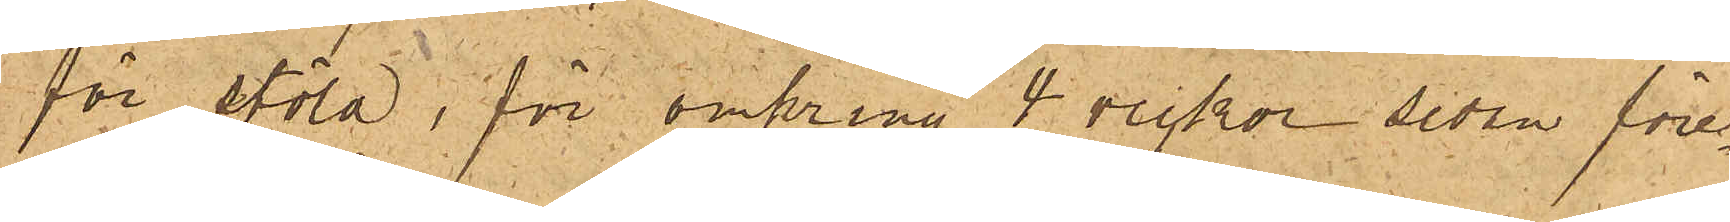för stöld, för omkring 4 veckor sedan före¬
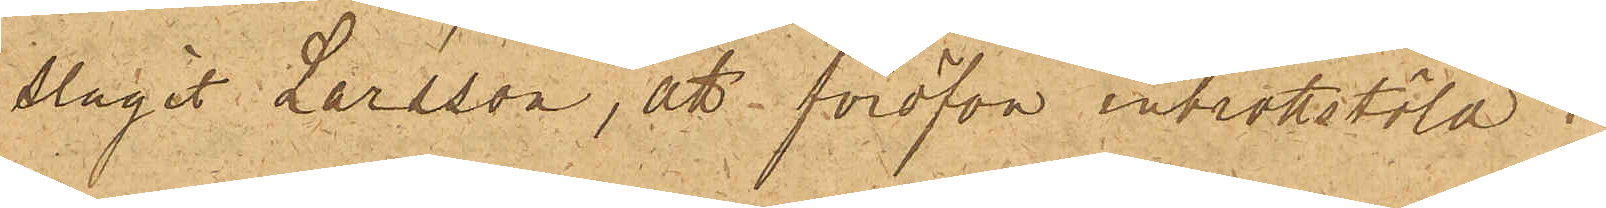slagit Larsson, att föröfva inbrottstöld i
